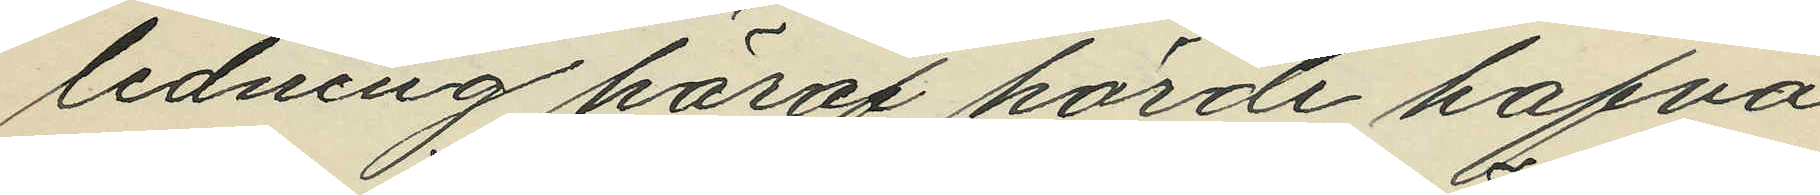ledning häraf hörde hafva
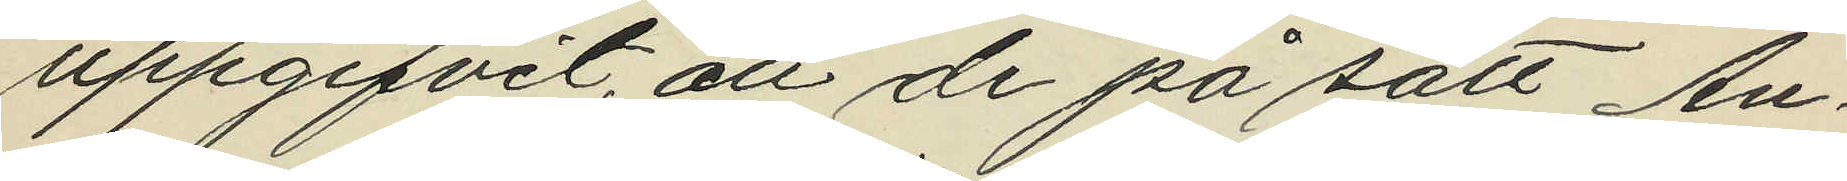uppgifvit, att de på sätt An¬
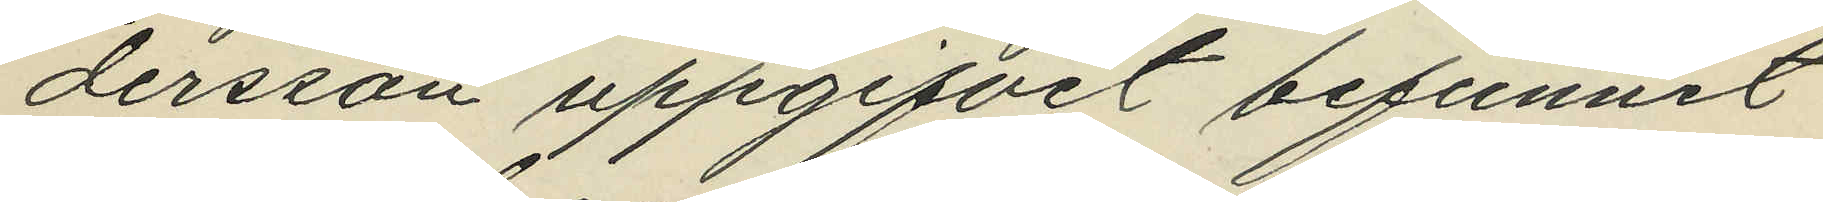dersson uppgifvit befunnit
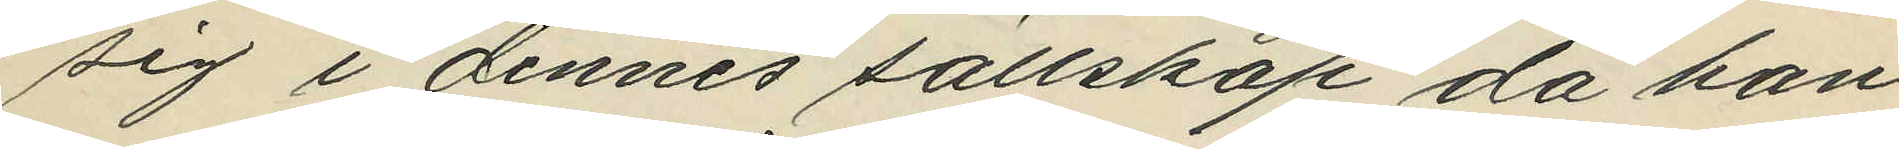sig i dennes sällskap då han
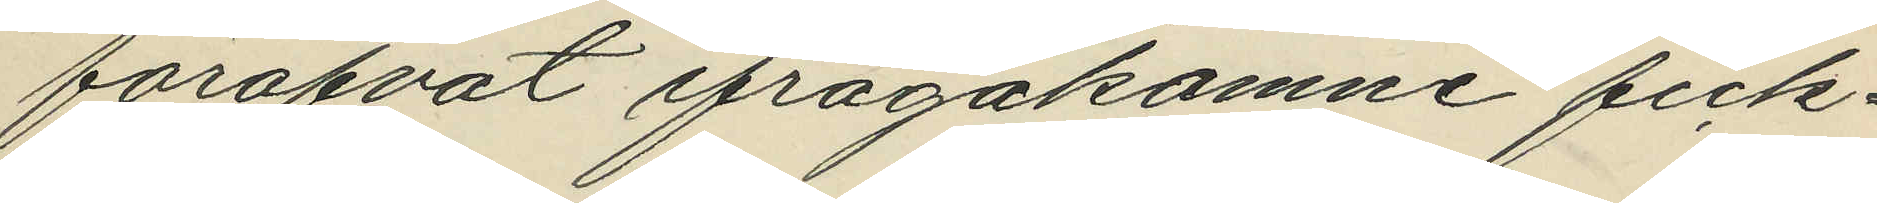föröfvat ifrågakomne fick¬
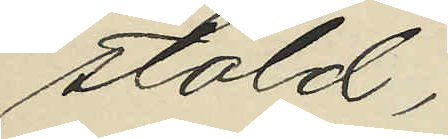stöld;
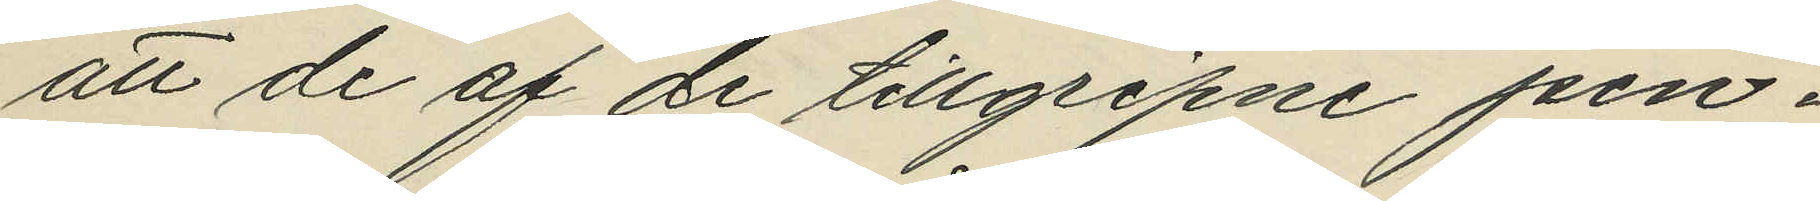att de af de tillgripne pen¬
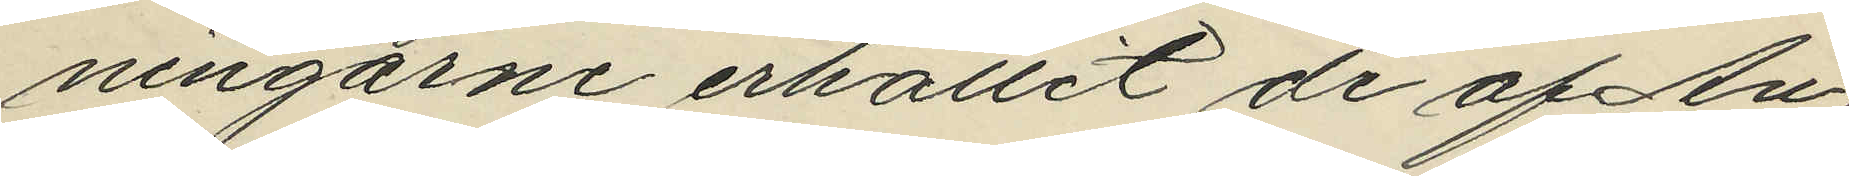ningarne erhållit de af An¬
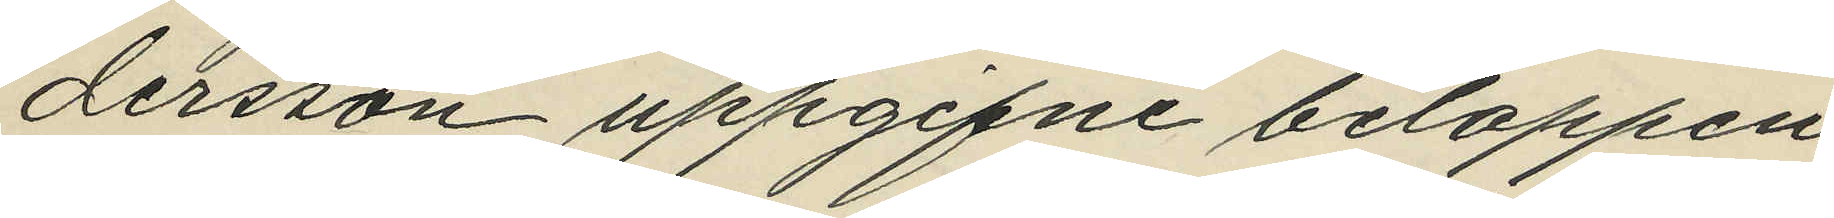dersson uppgifne beloppen,
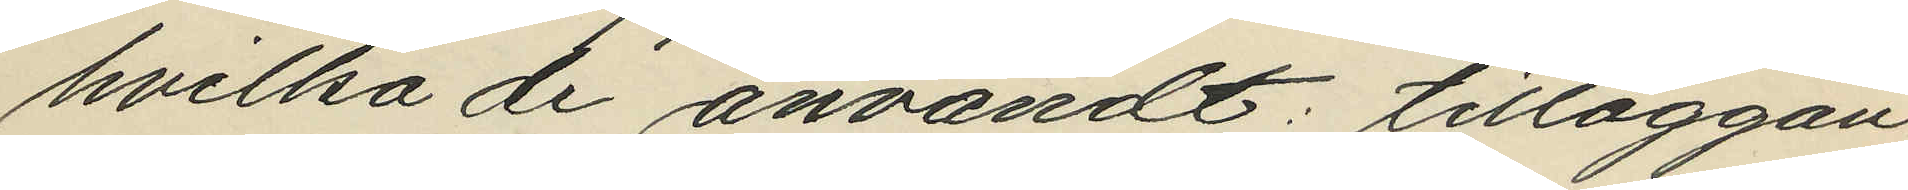hvilka de användt: tilläggan¬
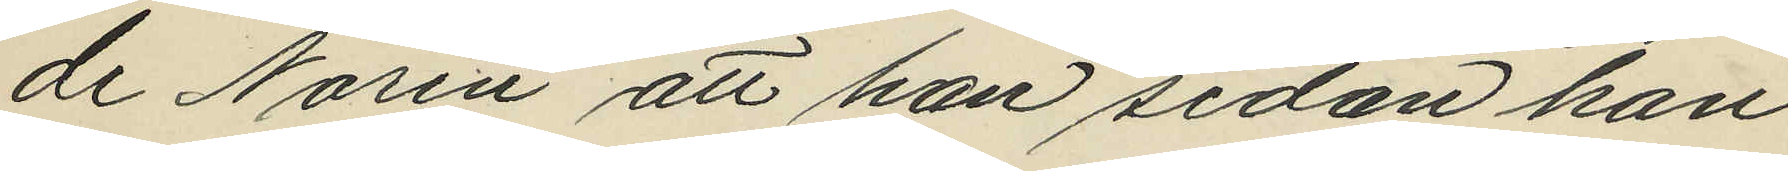de Norén att han sedan han
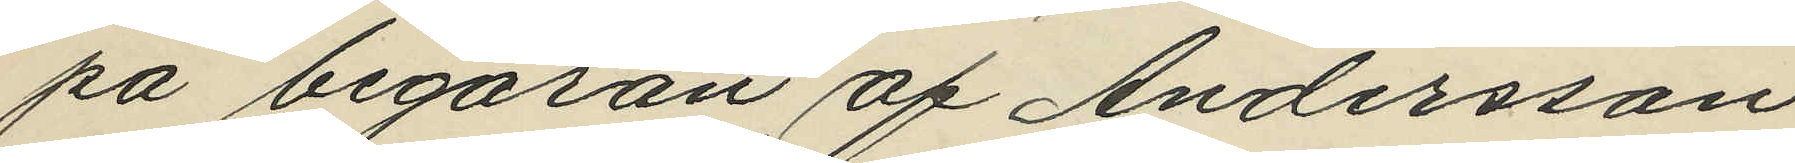på begäran af Andersson
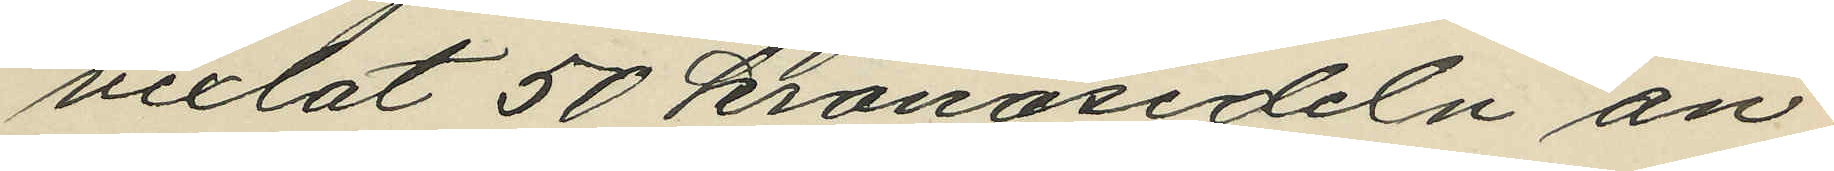vexlat 50 kronosedeln an¬
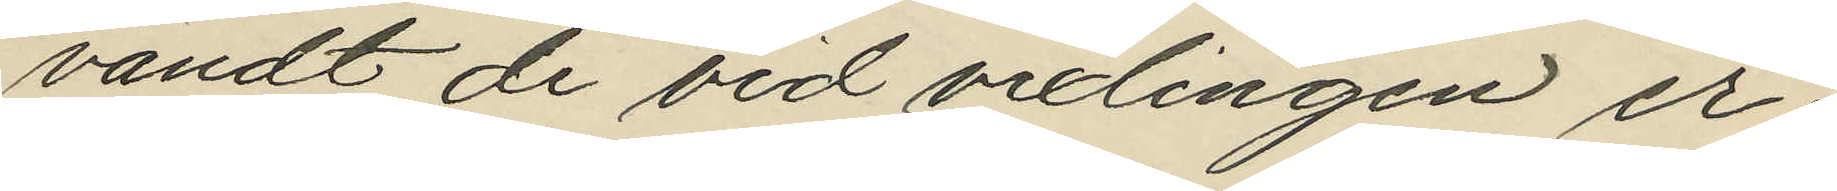vändt de vid vexlingen er¬
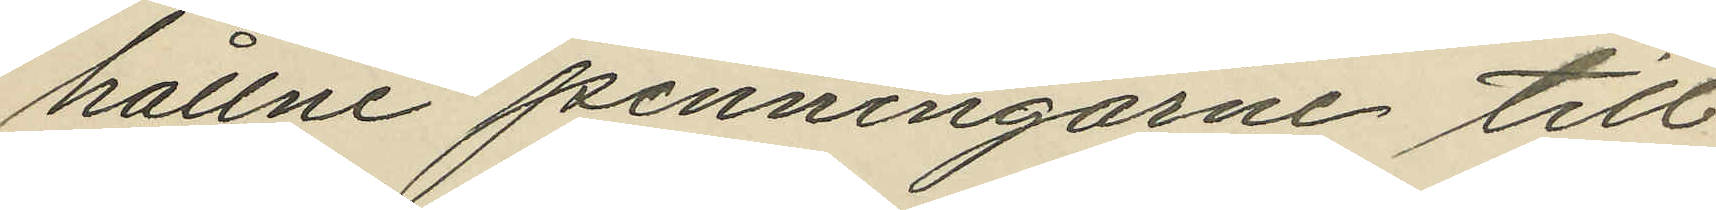hållne penningarne till
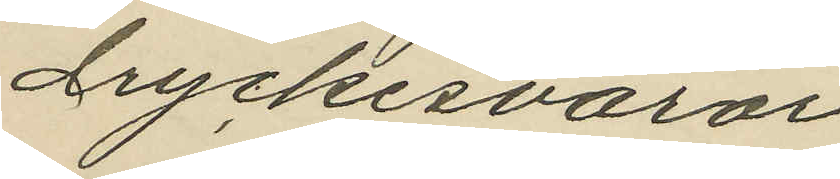dryckesvaror.
